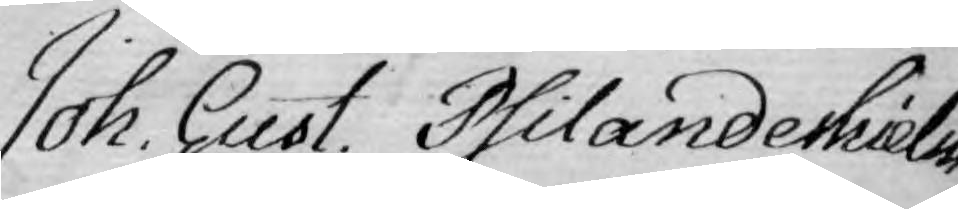Joh. Gust. Philanderhielm
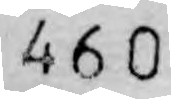460
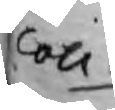Coll.
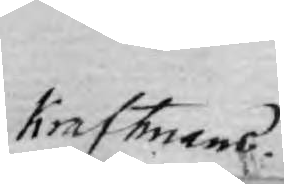Kraftmans.
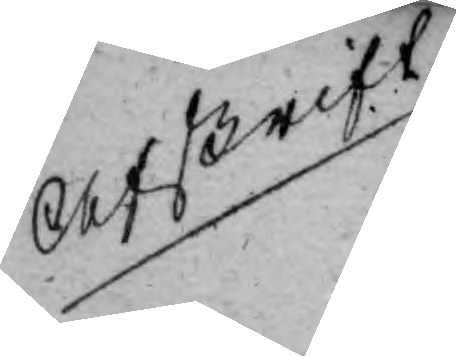Afskrift
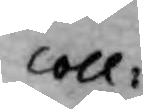Coll:
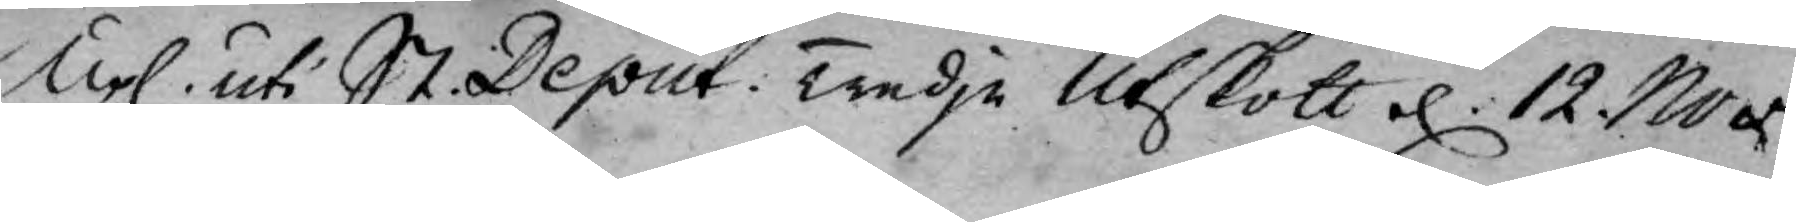Upl. uti St. Deput: Tredje Utskott d. 12. Nov.
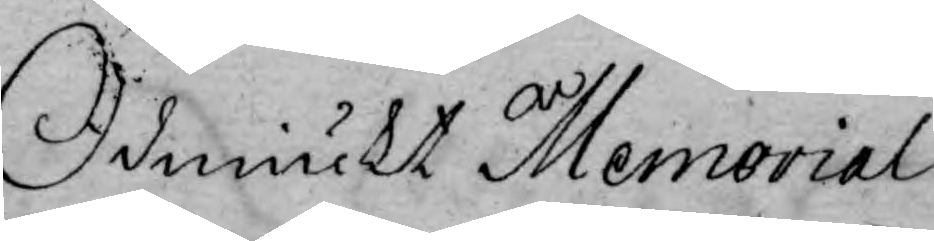Ödmiukt Memorial.
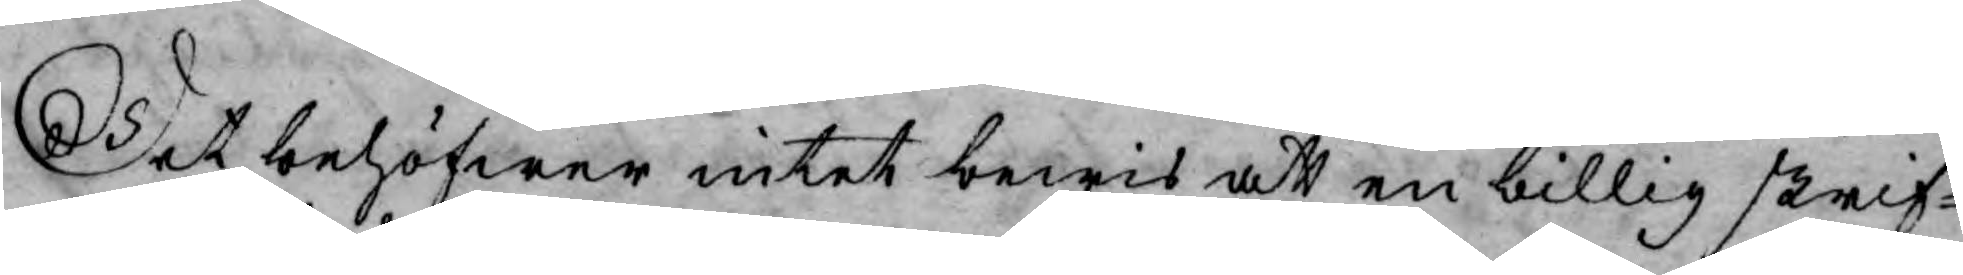Det behöfwer intet bewis att en billig skrif¬
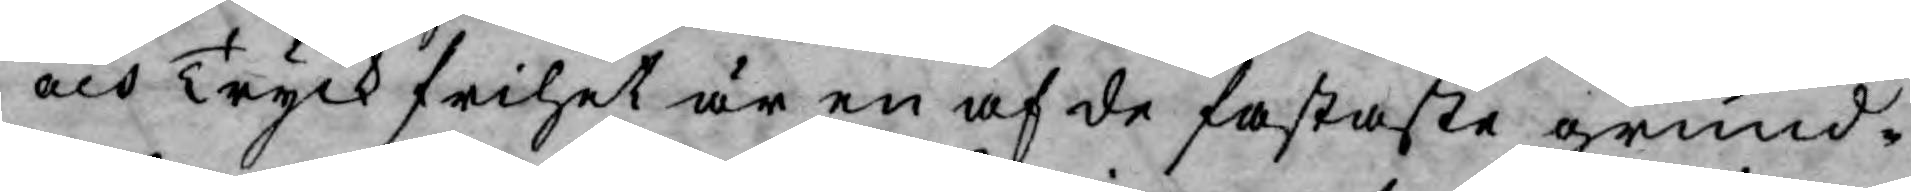och Tryckfrihet är en af de fastaste grund¬
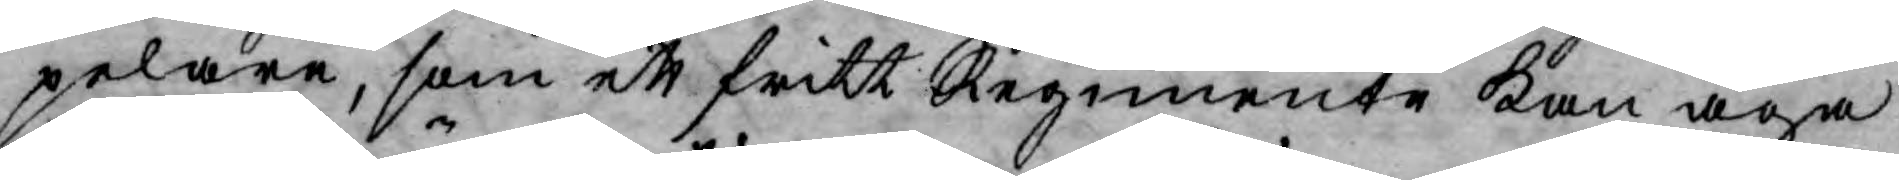pelare, som ett fritt Regimente kan äga
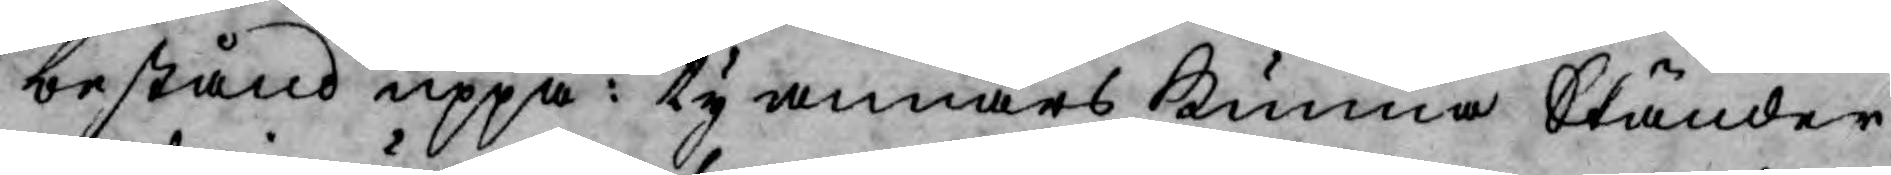bestånd uppå: ty annars kunna Ständer
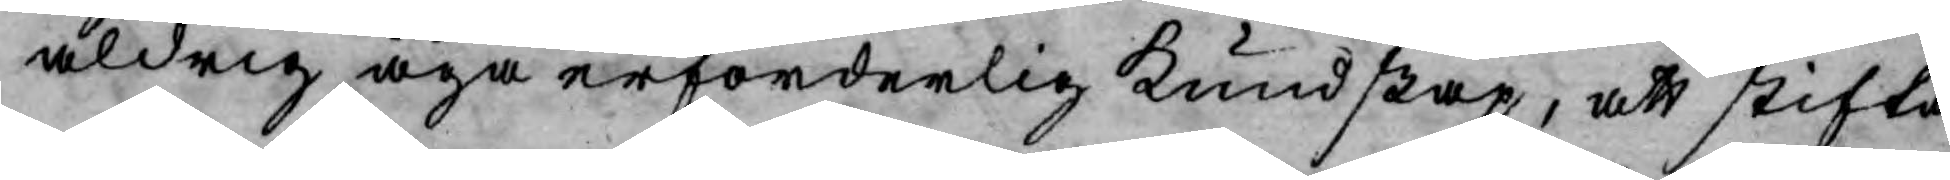aldrig äga erforderlig kundskap, att stifta
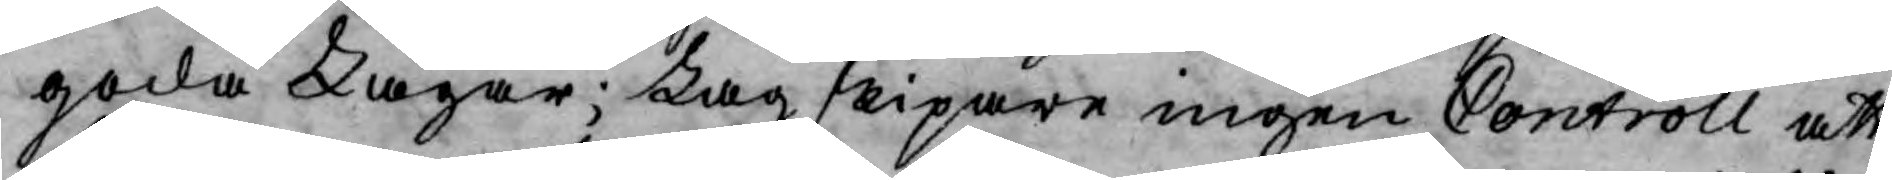goda Lagar; Lag skipare ingen Controll att
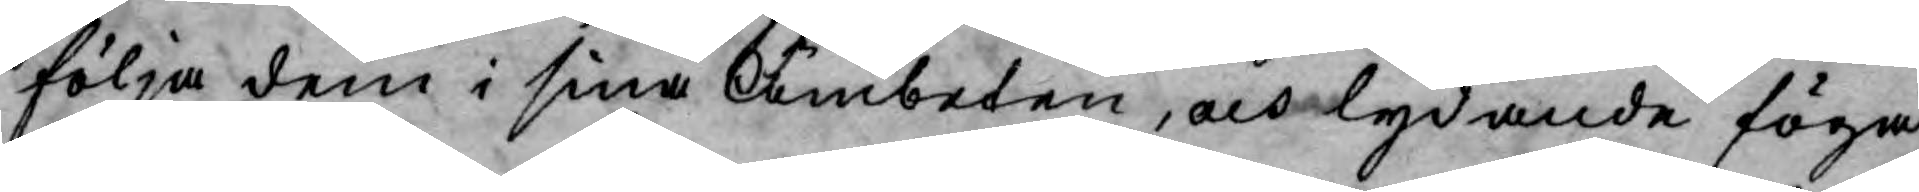följa dem i sina Ämbeten, och lydande föga
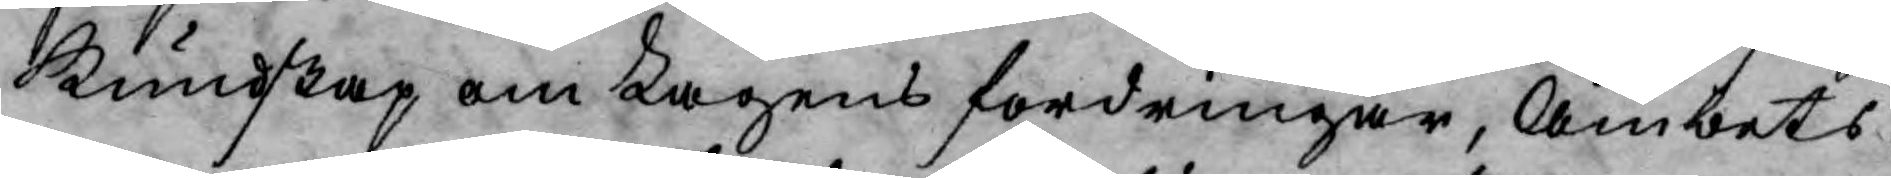Kundskap om Lagens fordringar, Ämbets¬
